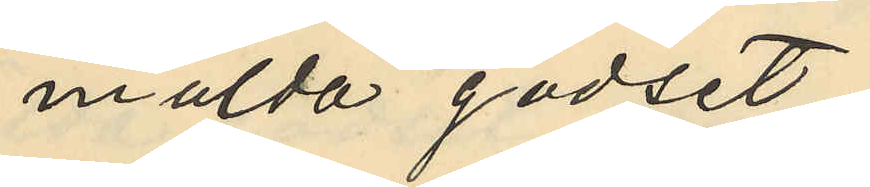mälda godset;
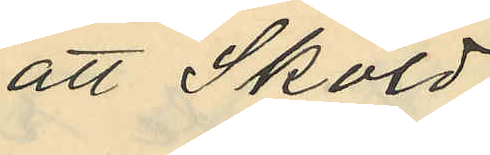att Sköld
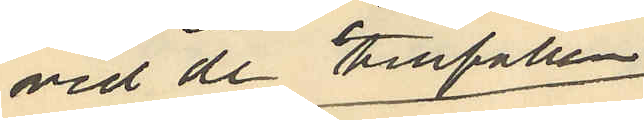vid de tillfällen
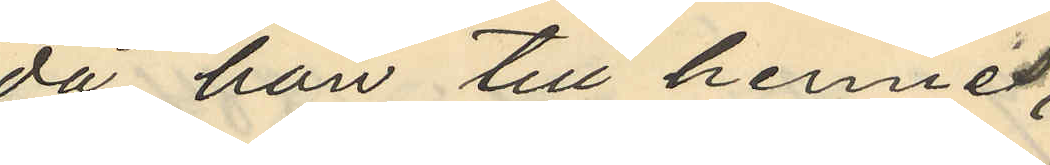då han till hennes
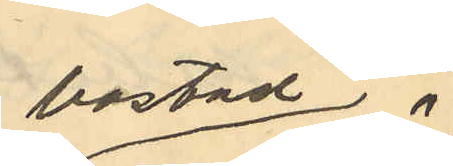bostad
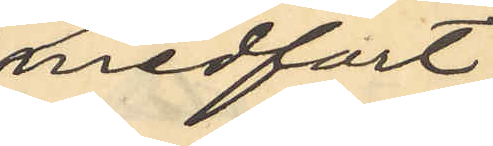medfört
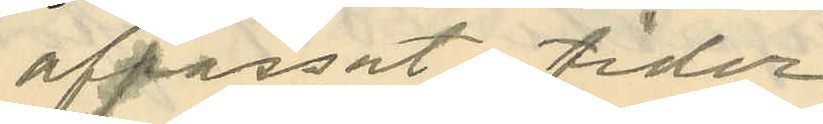afpassat tider
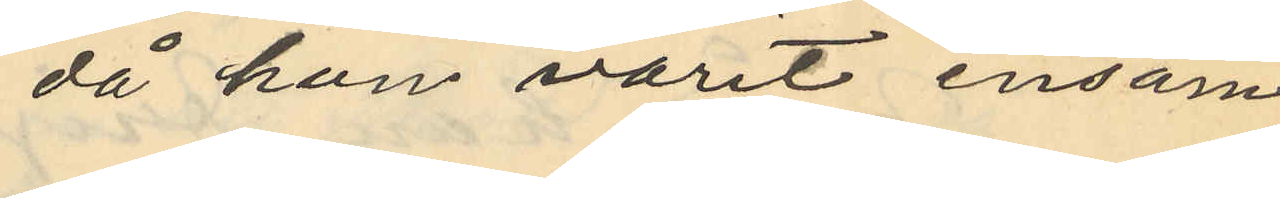då hon varit ensam
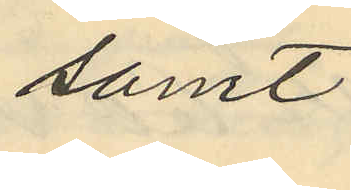samt
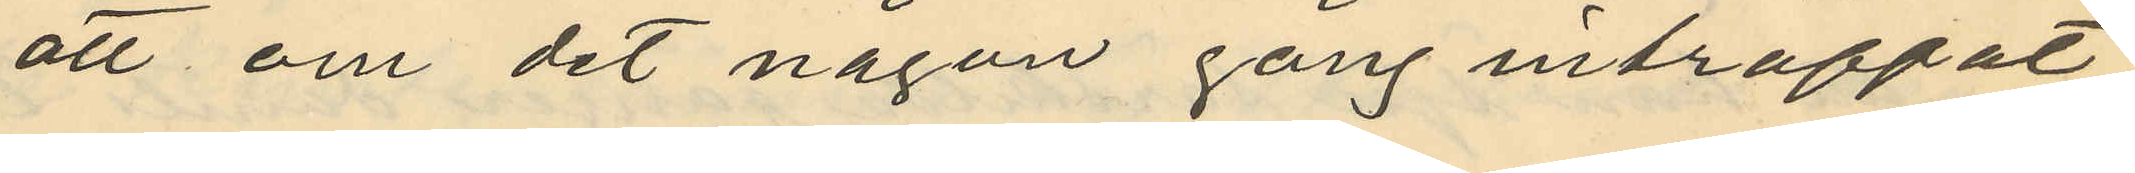att om det någon gång inträffat
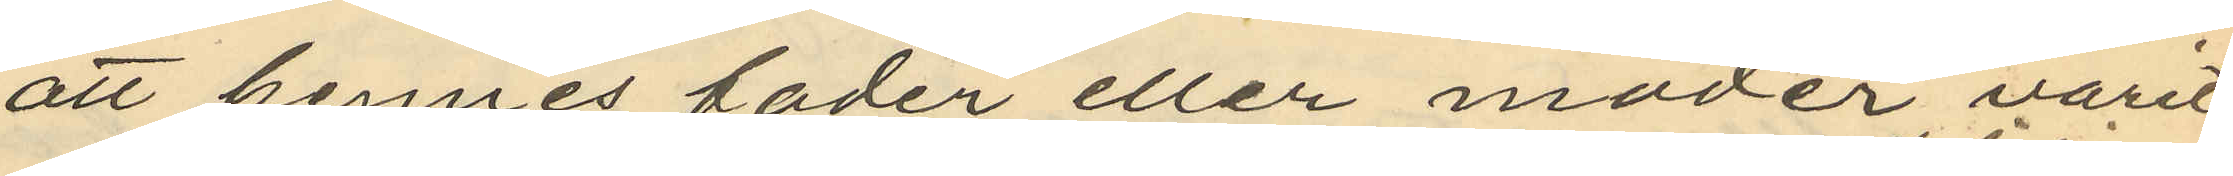att hennes fader eller moder varit
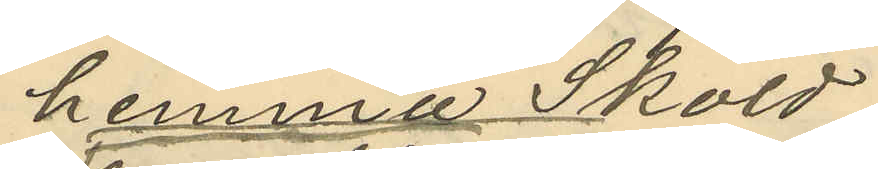hemma Sköld
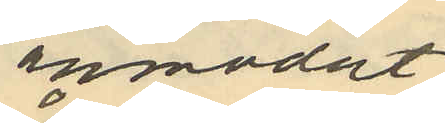anmodat
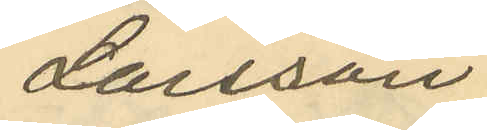Larsson
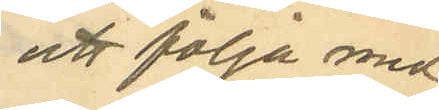att följa med
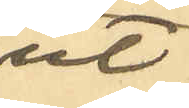till
